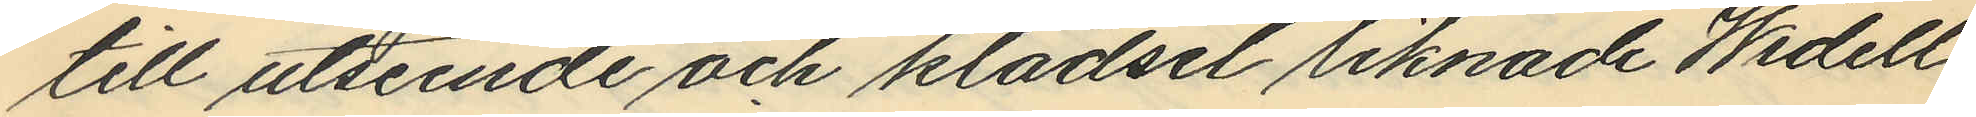till utseende och klädsel liknade Widell
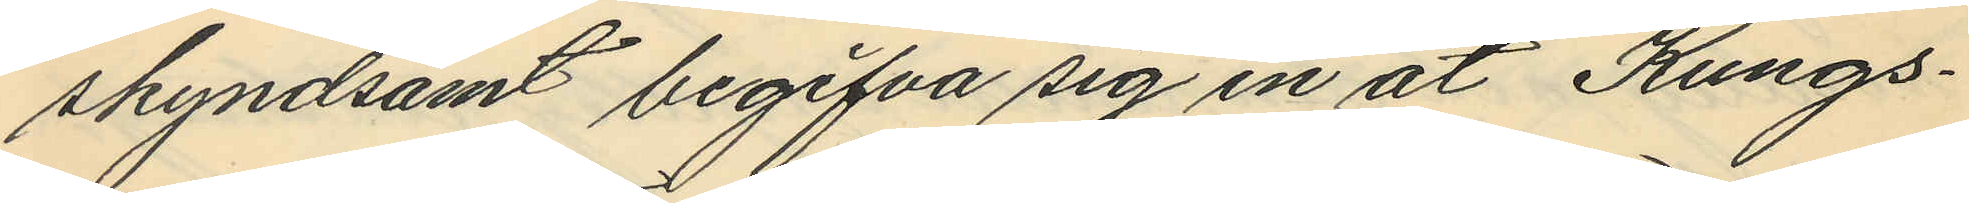skyndsamt begifva sig in åt Kungs¬
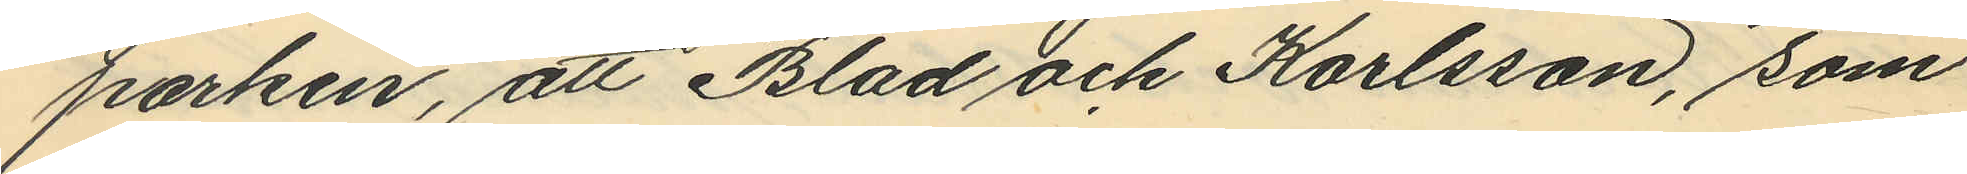parken, att Blad och Karlsson, som
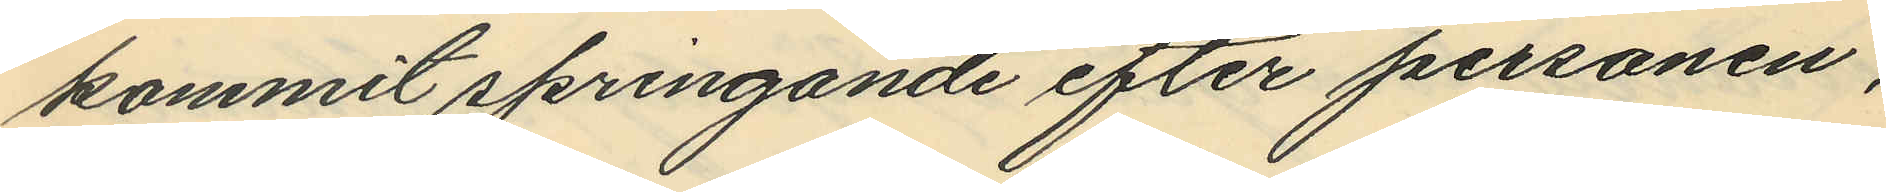kommit springande efter personen,
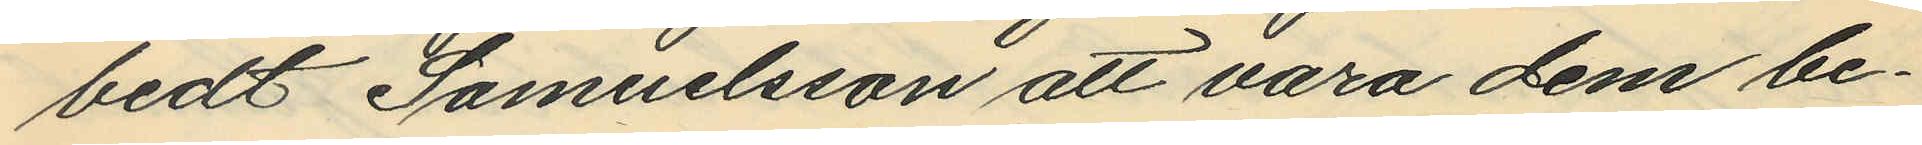bedt Samuelsson att vara dem be¬
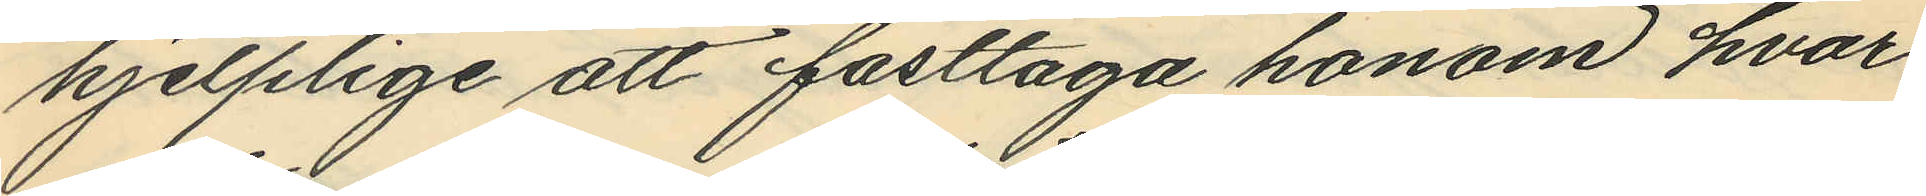hjelplige att fasttaga honom, hvar¬
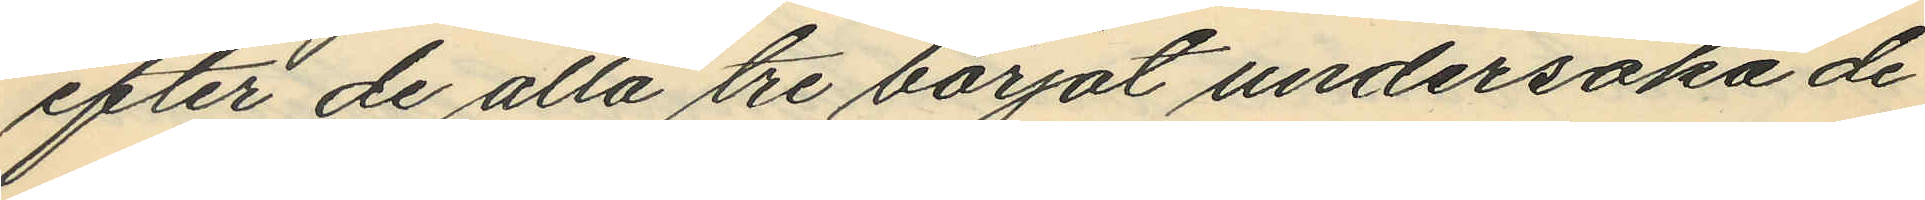efter de alla tre börjat undersöka de
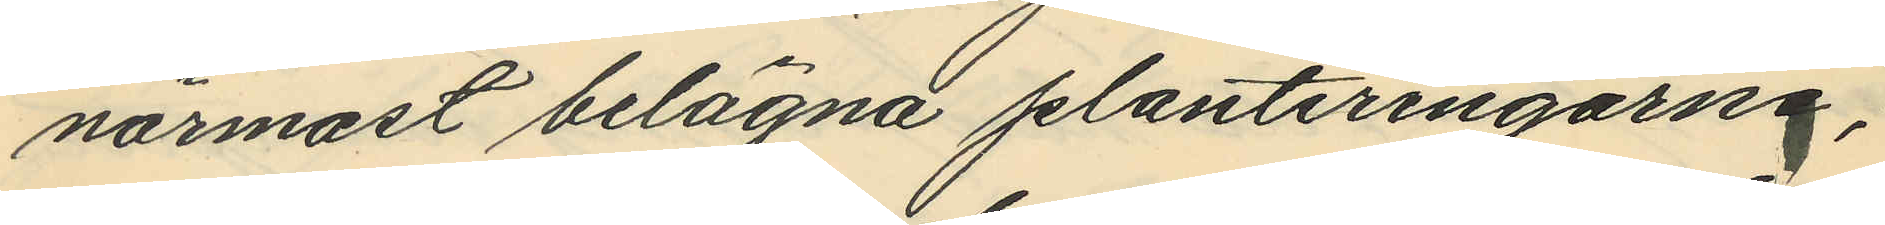närmast belägna planteringarna;
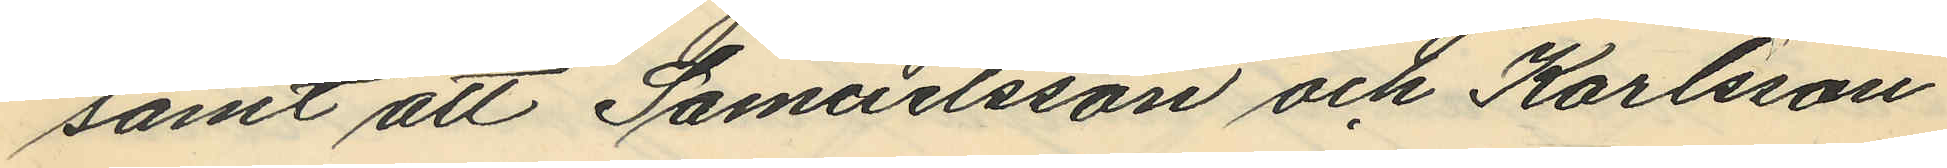samt att Samuelsson och Karlsson
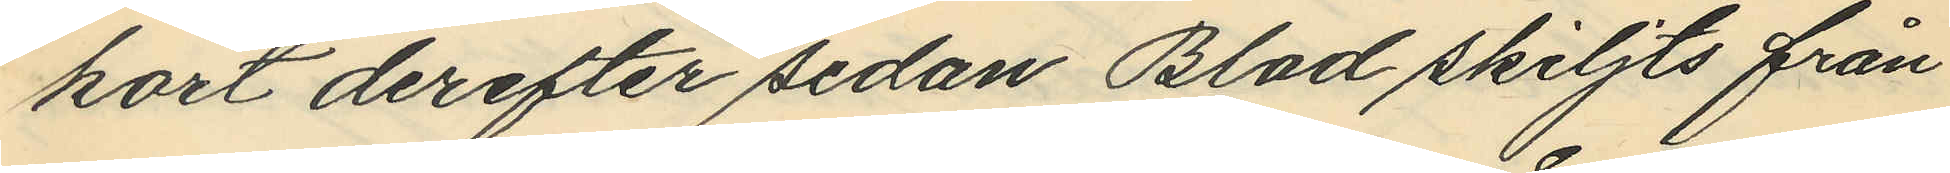kort derefter sedan Blad skiljts från
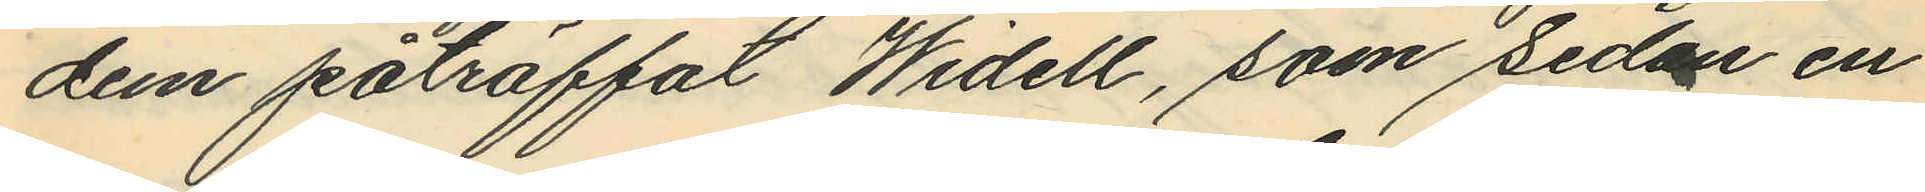dem påträffat Widell, som sedan en
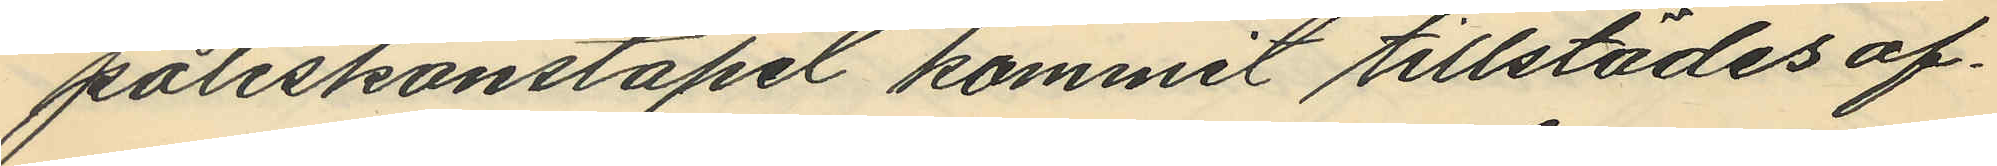poliskonstapel kommit tillstädes af¬
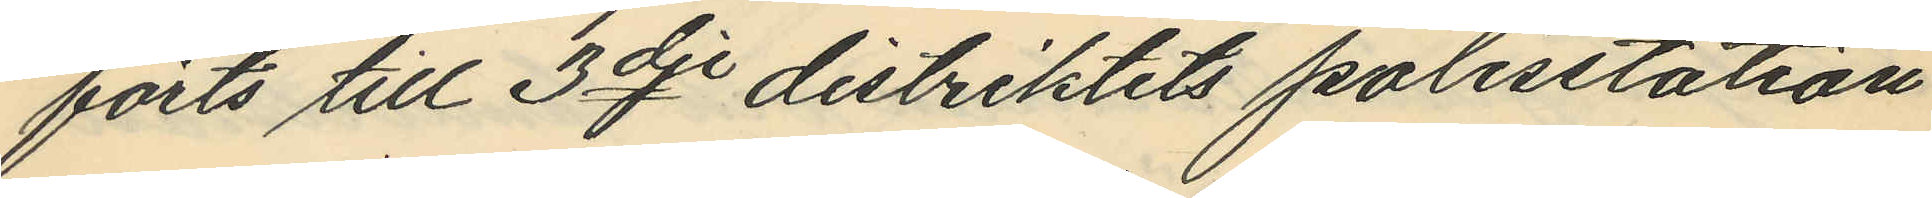förts till 3dje distriktets polisstation
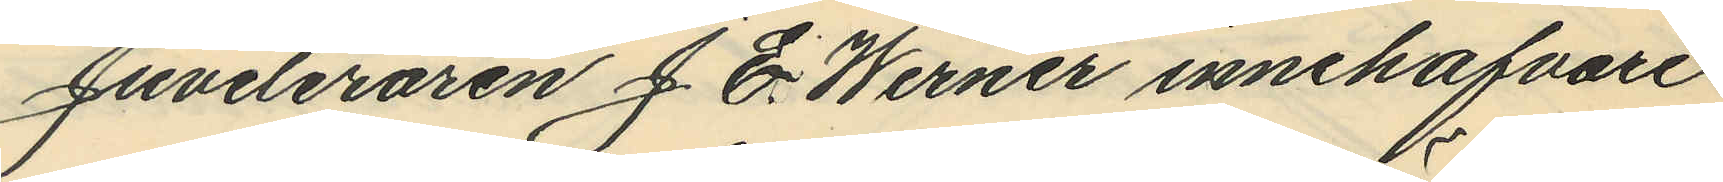Juveleraren J. E. Werner innehafvare
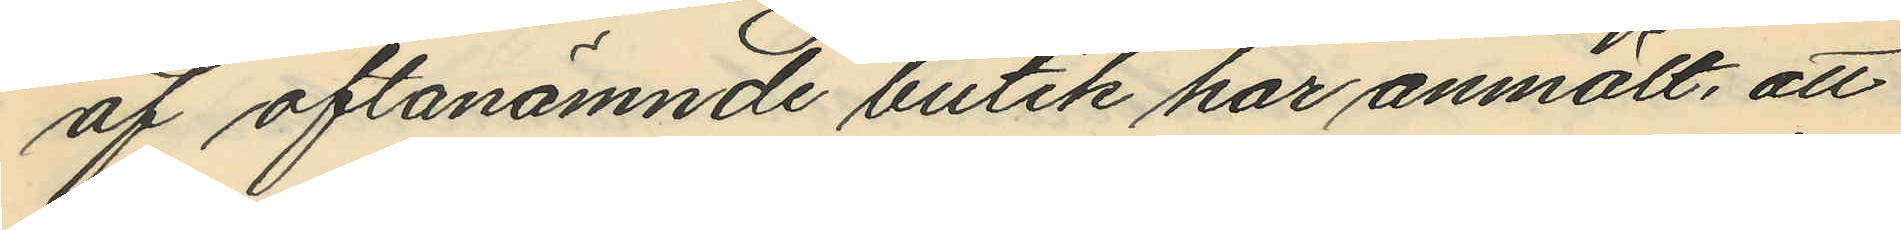af oftanämnde butik har anmält, att
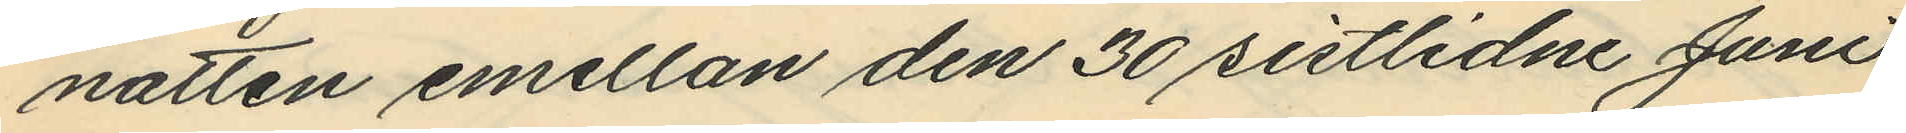natten emellan den 30 sistlidne Juni
